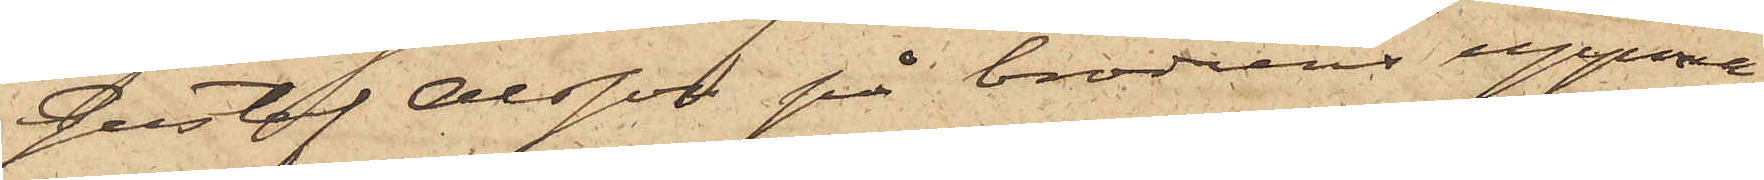Gustaf Olsson på broderns uppma¬
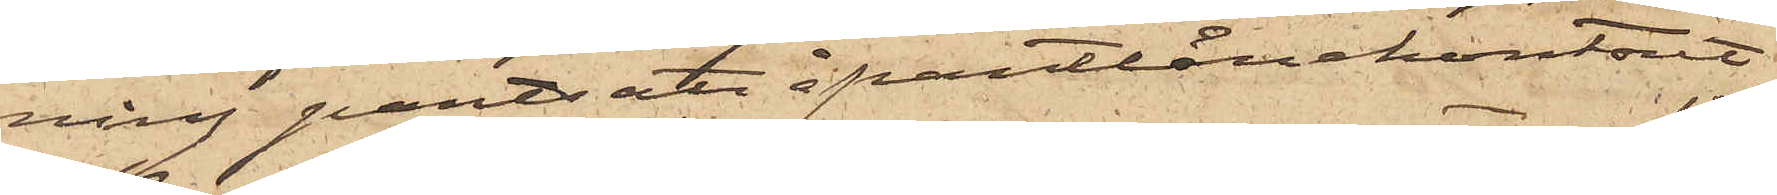ning pantsatt å pantlånekontoret
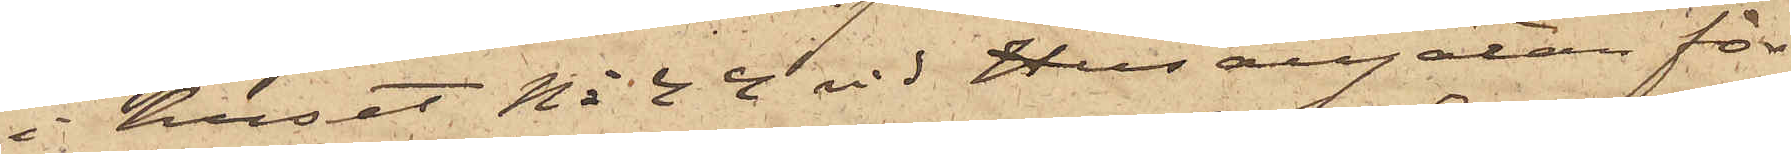i huset No 44 vid Husargatan för
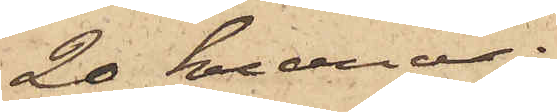20 kronor;
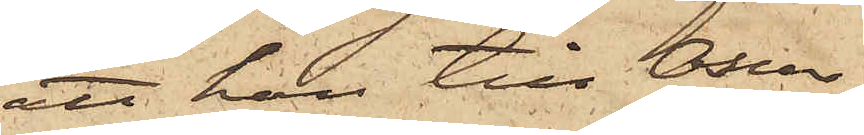att han till Oscar
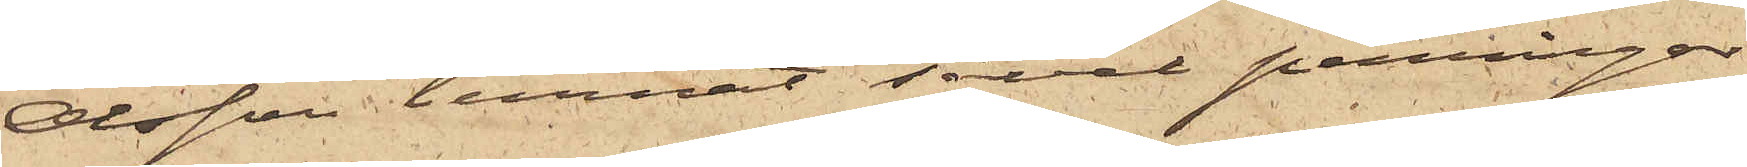Olsson lemnat såväl penningar
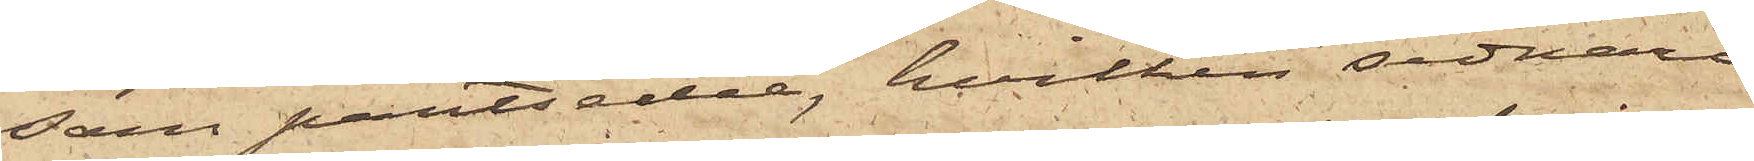som pantsedel, hvilken sednare
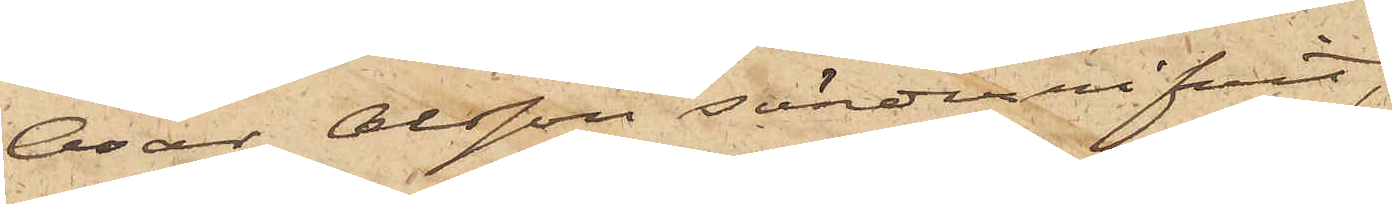Osar Olsson sönderrifvit;
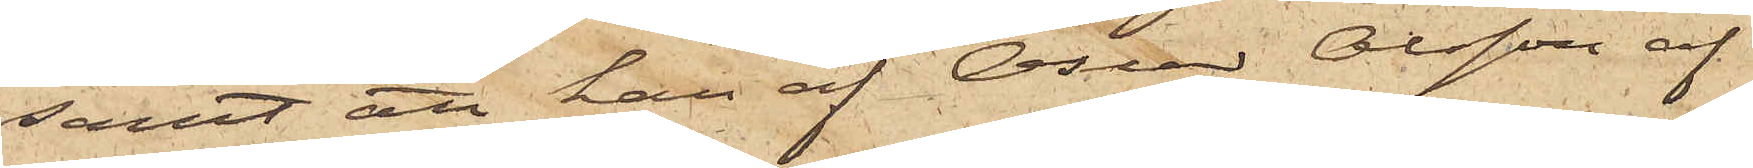samt att han af Oscar Olsson af
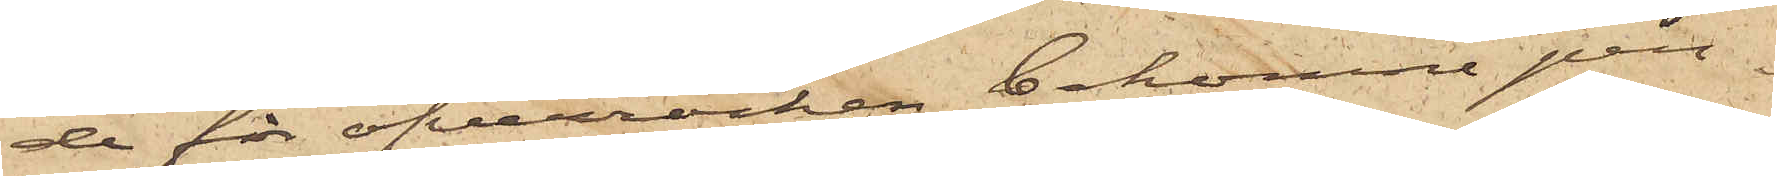de för öfverrocken bekomne pen¬
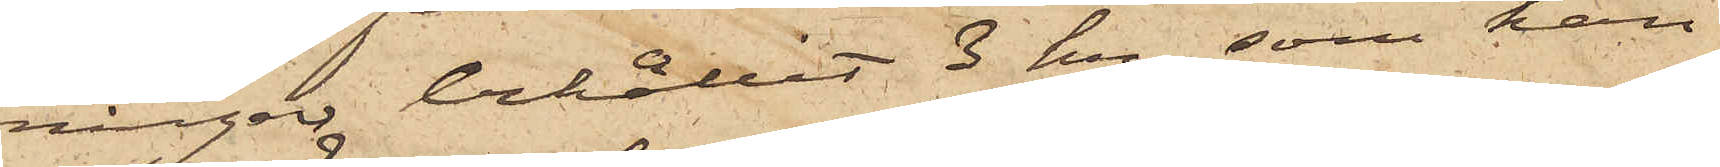ningar behållit 3 Kr, som han
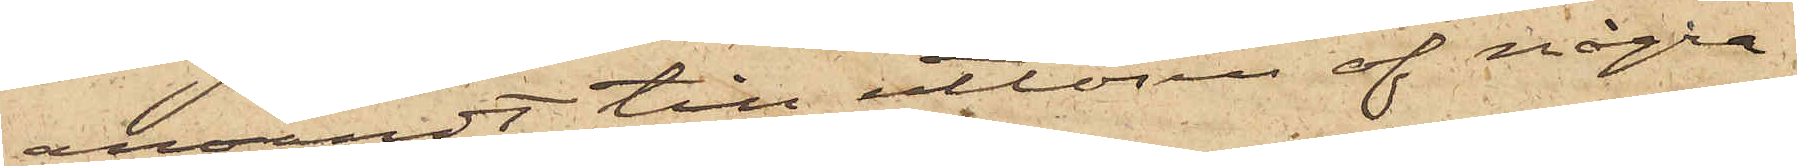användt till utlösen af några
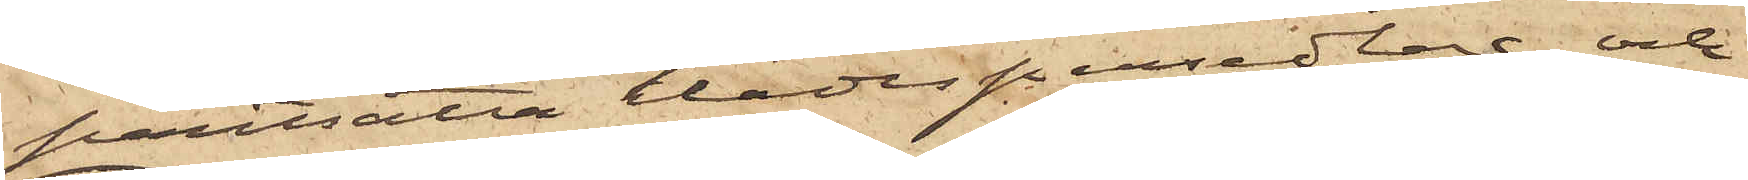pantsatta klädespersedlar; och
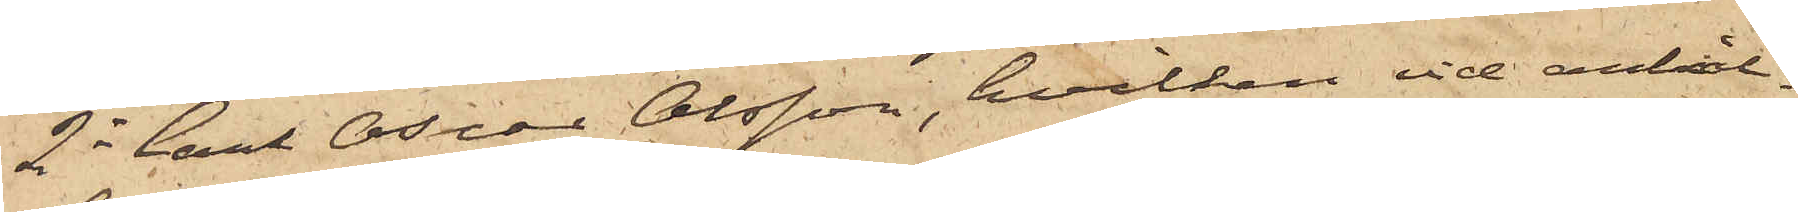2o Carl Oscar Olsson, hvilken vid anhål¬
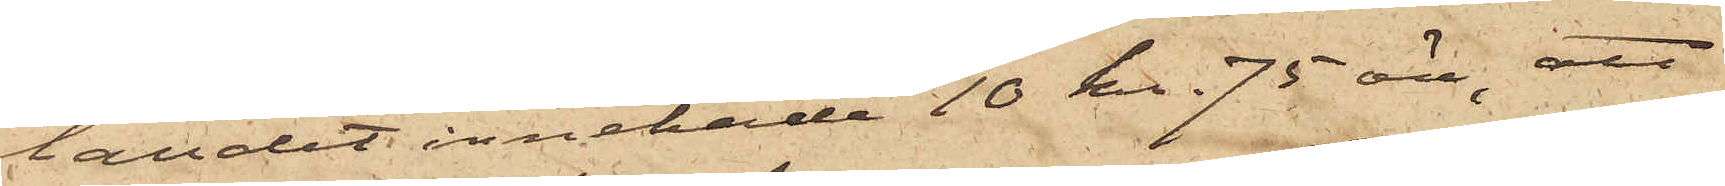landet innehade 10 kr. 75 öre, att
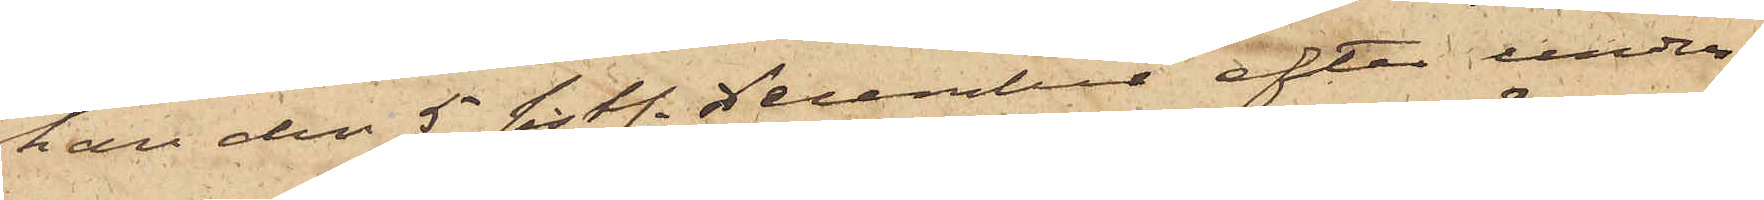han den 5 sist. December efter under¬
